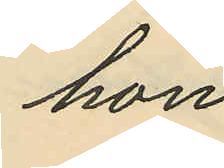hon
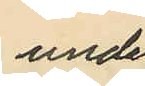under
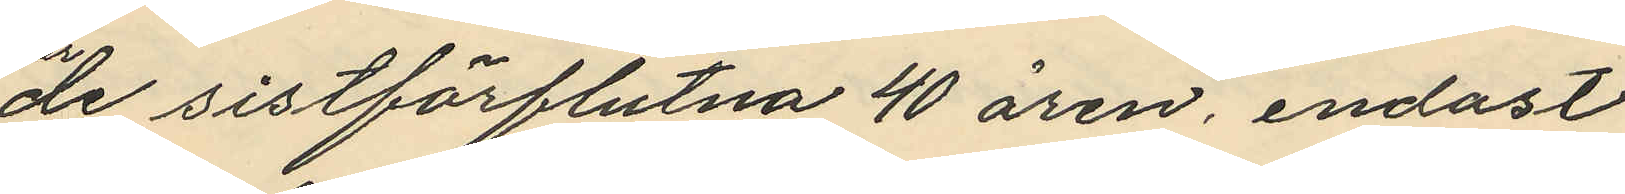de sistförflutna 40 åren, endast
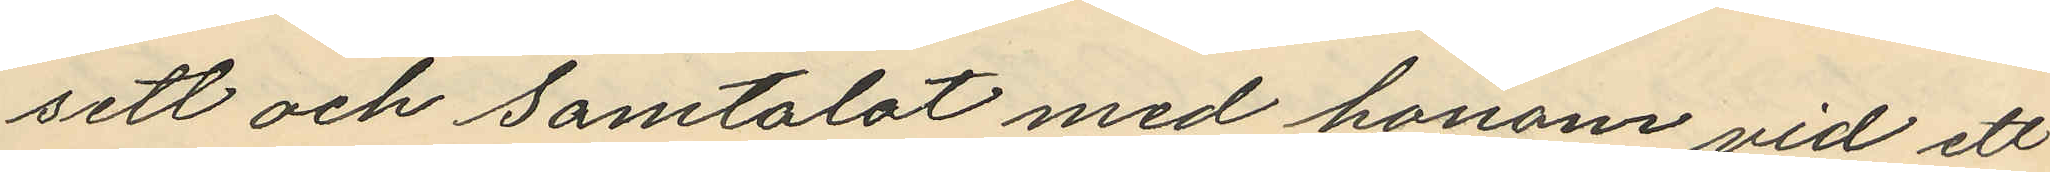sett och samtalat med honom vid ett
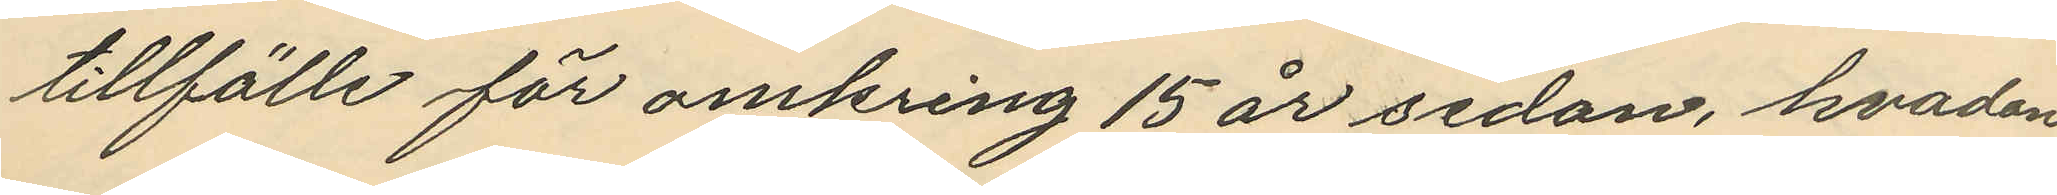tillfälle för omkring 15 år sedan, hvadan
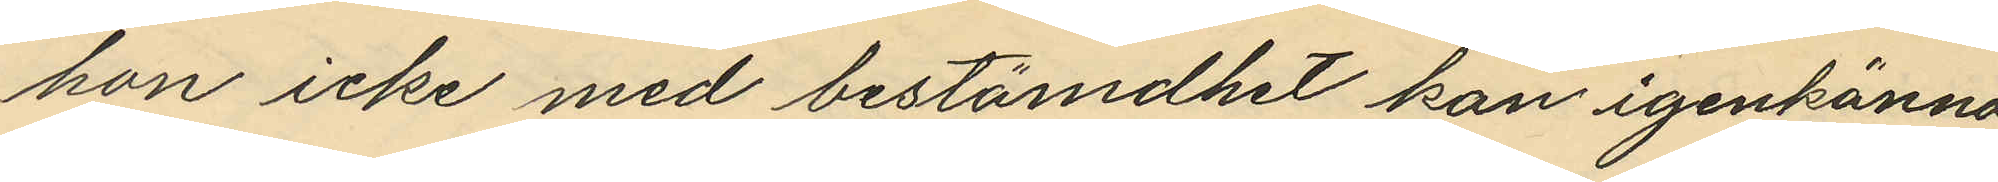hon icke med bestämdhet kan igenkänna
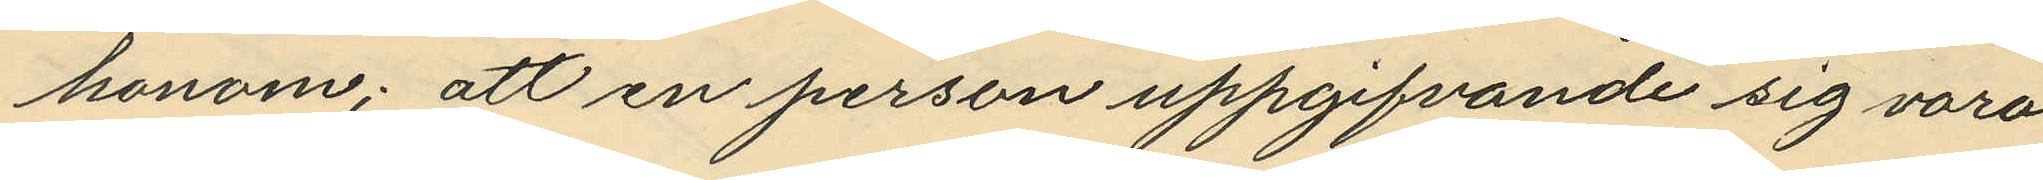honom; att en person uppgifvande sig vara
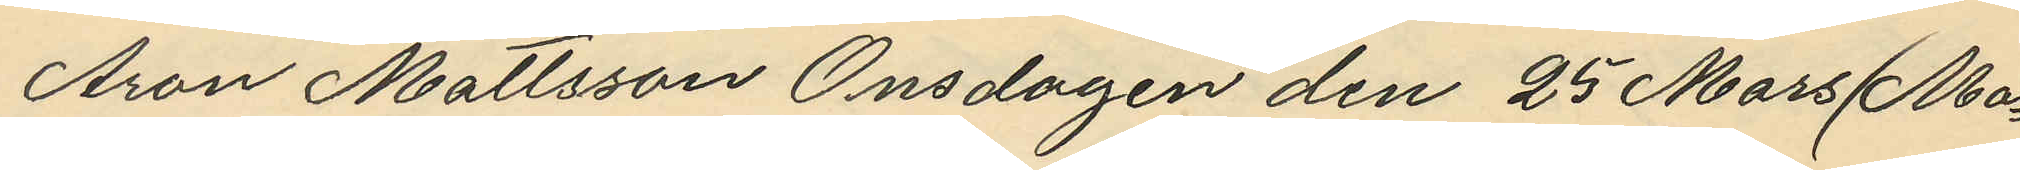Aron Mattsson Onsdagen den 25 Mars (Ma¬
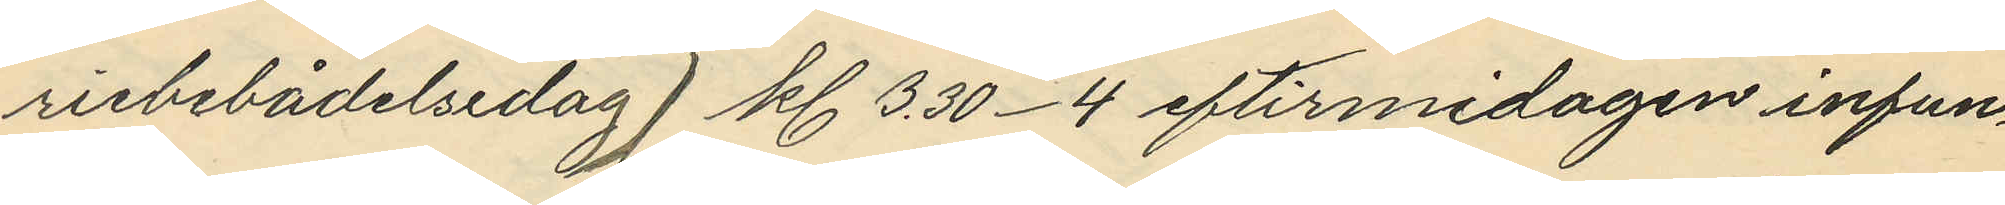riebebådelsedag) kl. 3.30-4 eftirmidagen infun¬
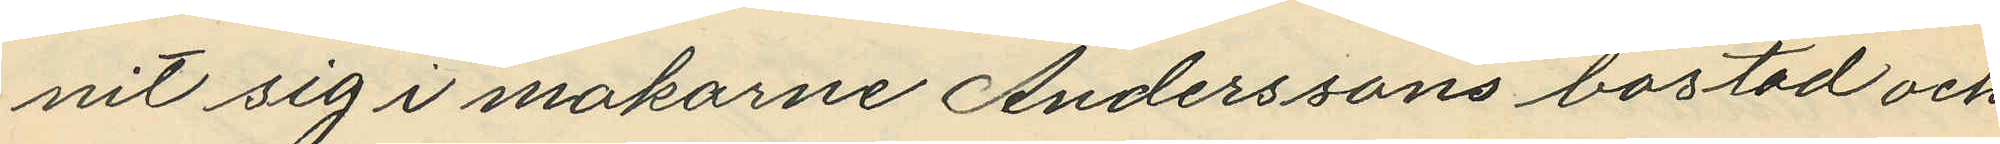nit sig i makarne Anderssons bostad och
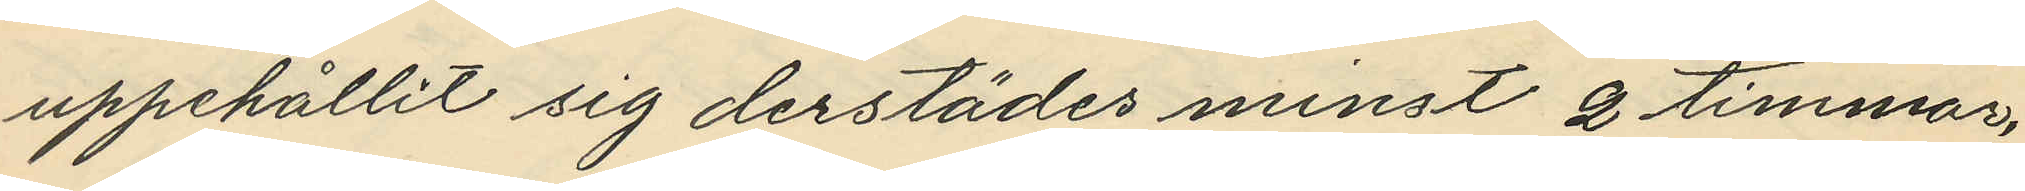uppehållit sig derstädes minst 2 timmar,
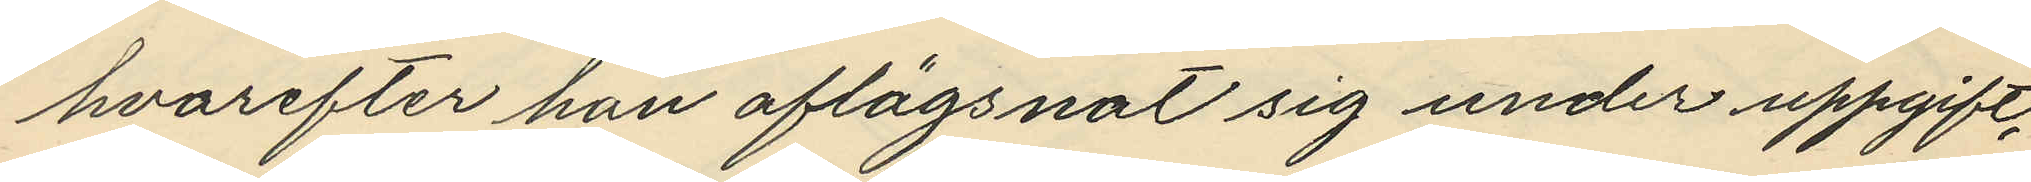hvarefter han aflägsnat sig under uppgift,
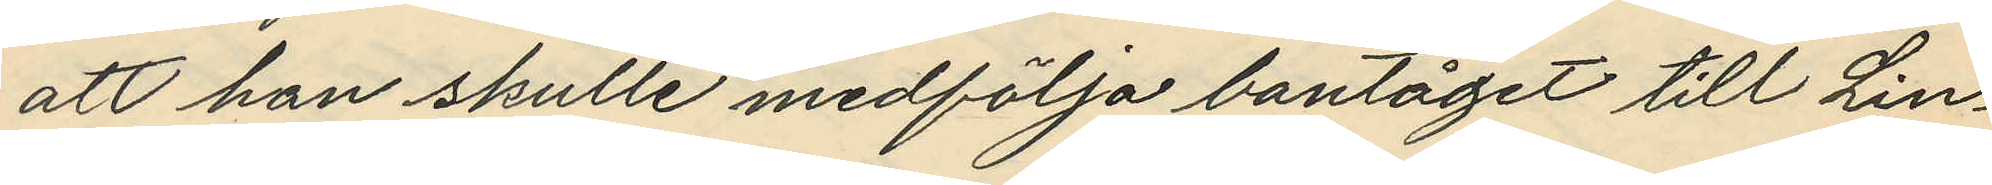att han skulle medfölja bantåget till Lin¬
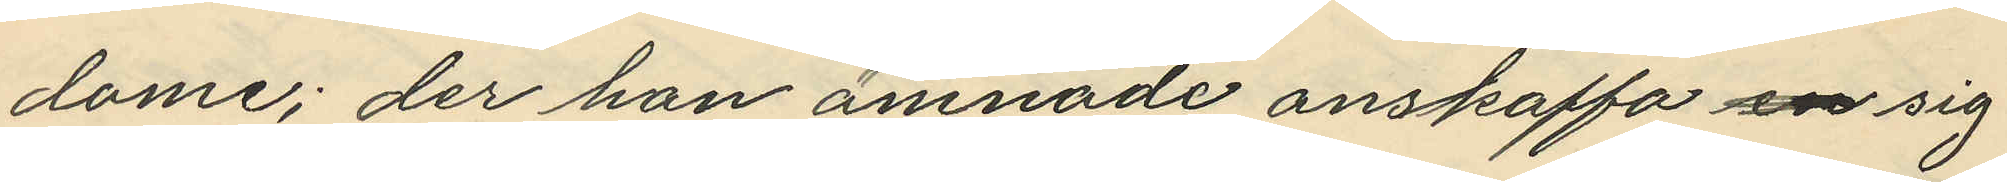dome; der han ämnade anskaffa en sig
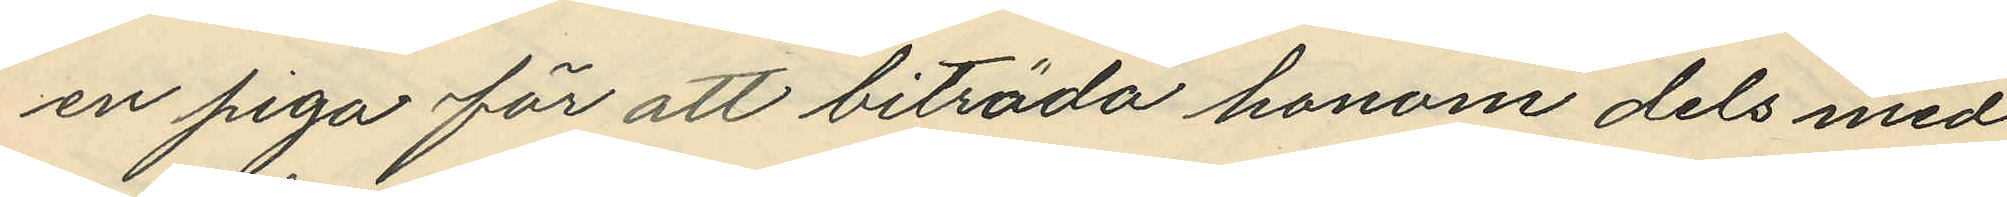en piga för att biträda honom dels med
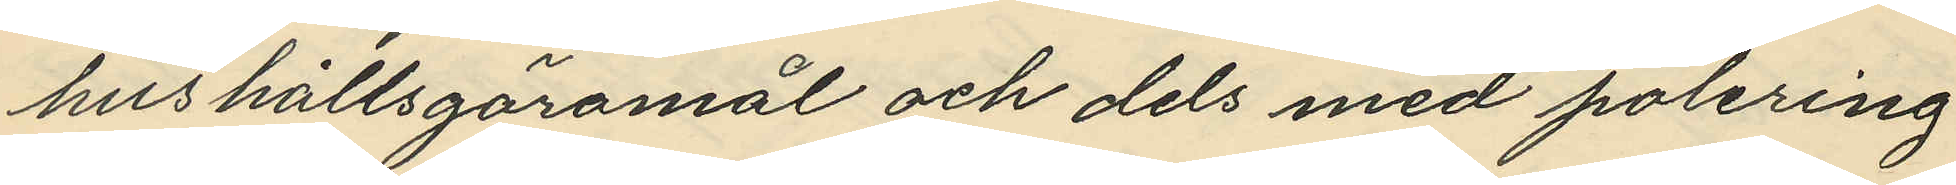hushållsgöromål och dels med polering
